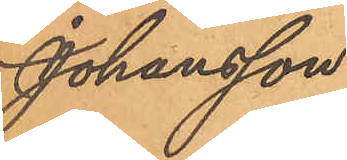Johansson
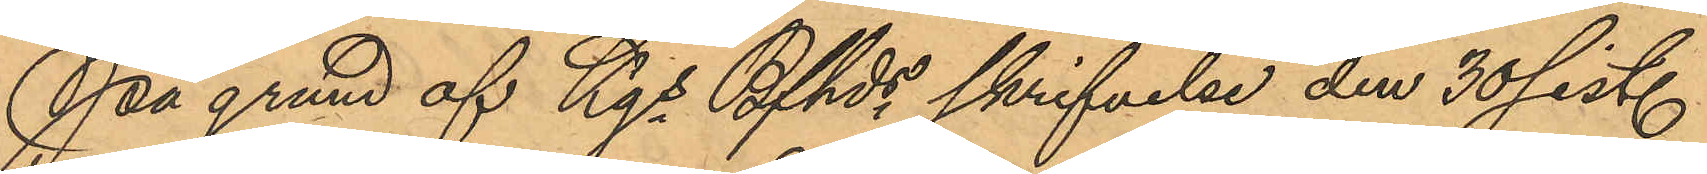På grund af Kgs Bfhds skrifvelse den 30 sist.
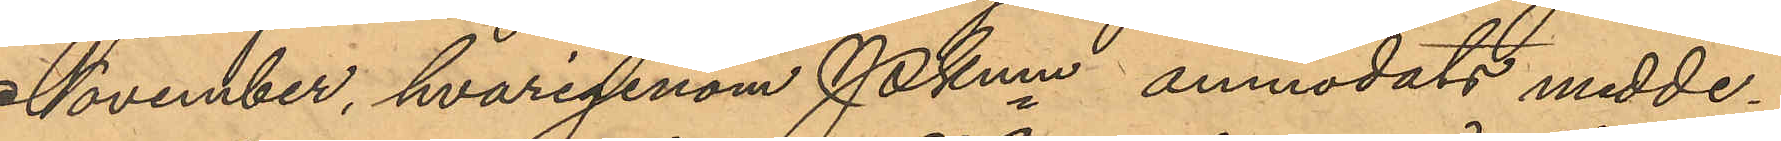November, hvarigenom PKmn anmodats medde¬
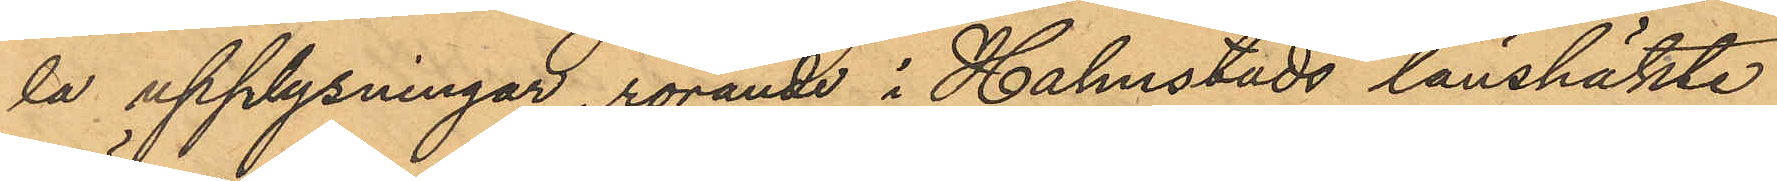la upplysningar, rörande i Halmstads länshäkte
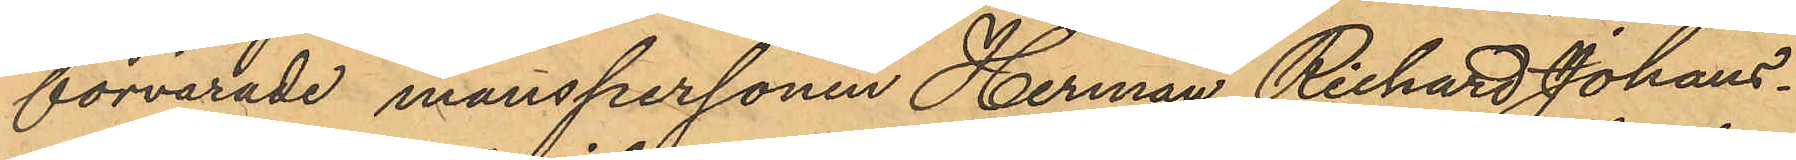förvarade manspersonen Herman Richard Johans¬
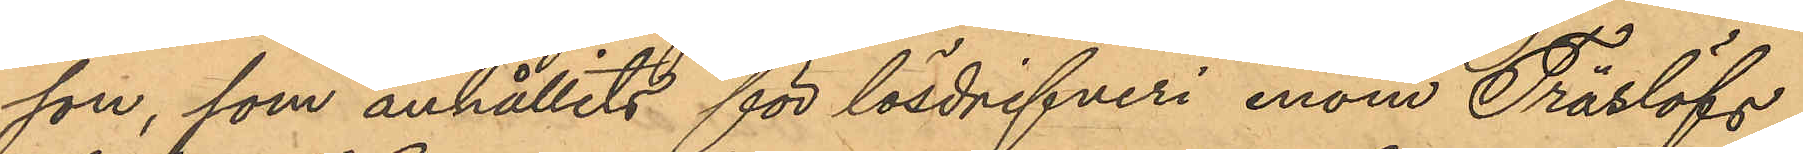son, som anhållits för lösdrifveri inom Träslöfs
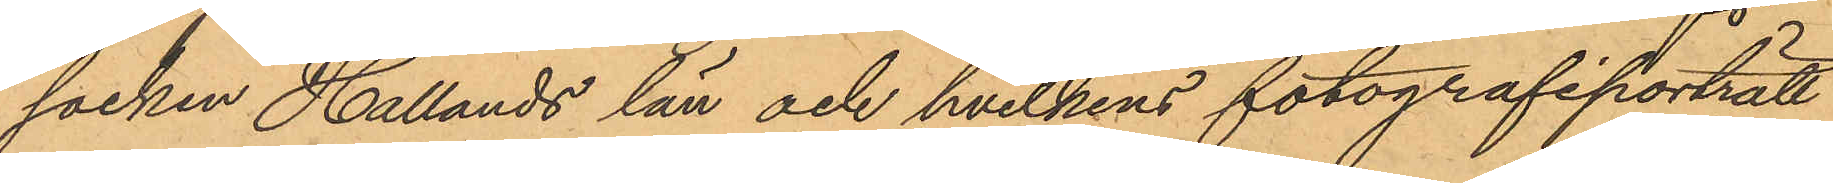socken Hallands län och hvilkens fotografiporträtt
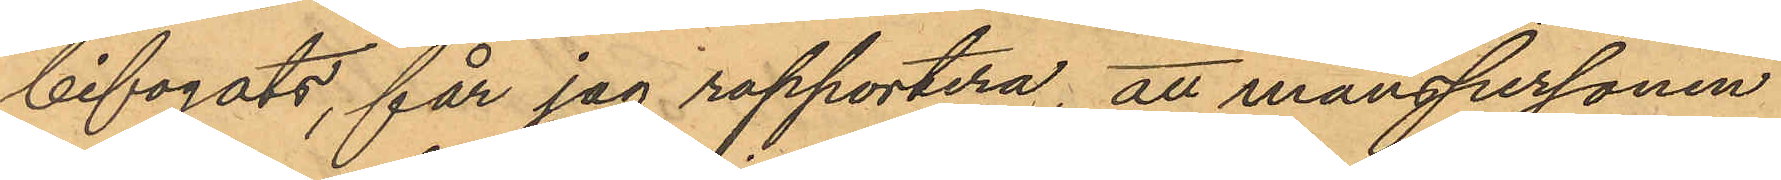bifogats, får jag rapportera, att manspersonen
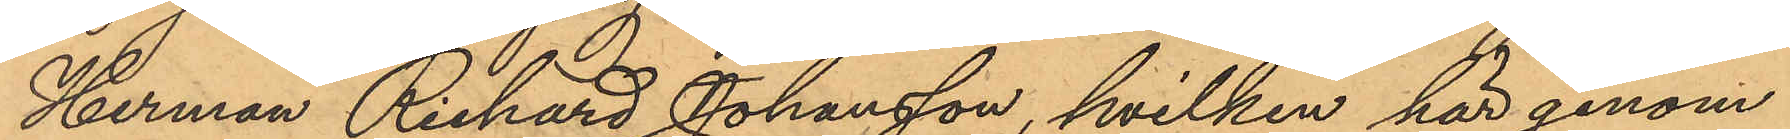Herman Richard Johansson, hvilken här genom
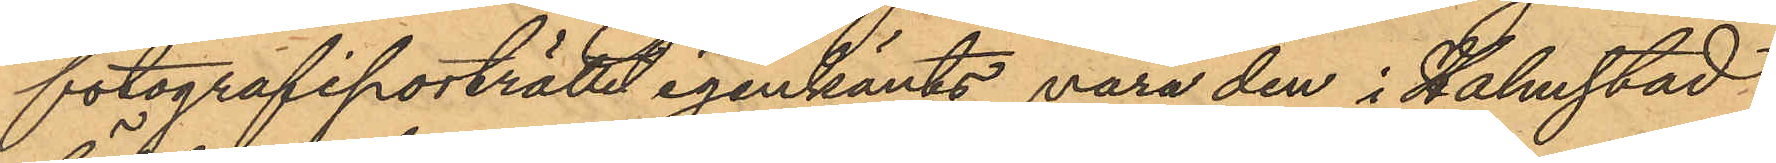fotografiporträttet igenkänts vara den i Halmstad
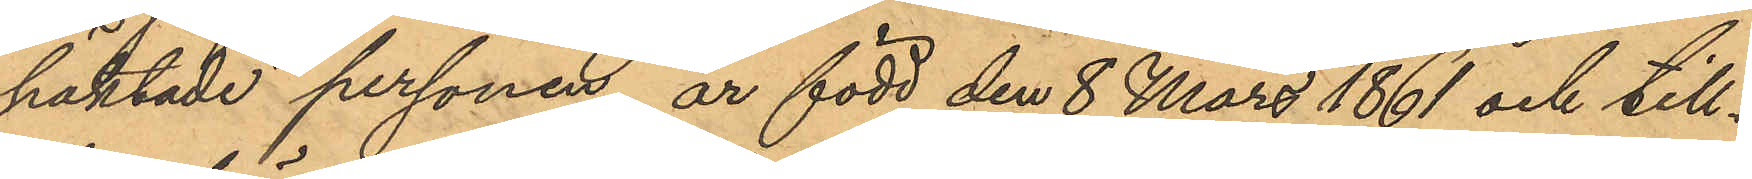häktade personen, är född den 8 Mars 1861 och till¬
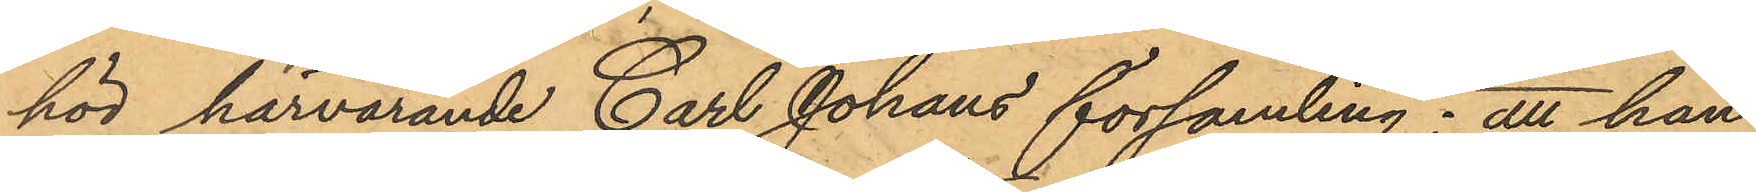hör härvarande Carl Johans församling; att han
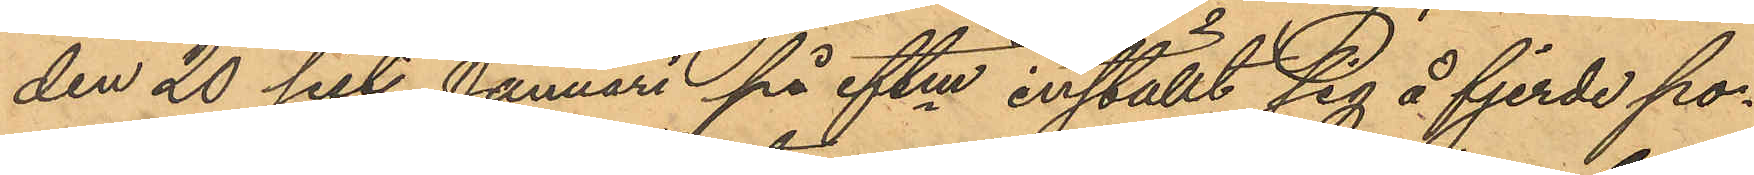den 20 sist. Januari på eftm inställt sig å fjerde po¬
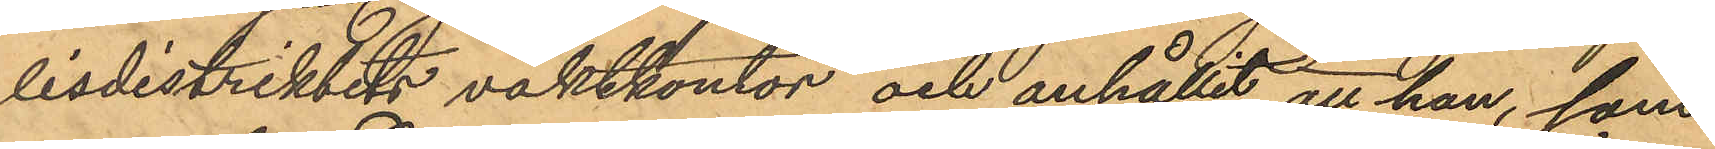lisdistriktets vaktkontor och anhållit, att han, som
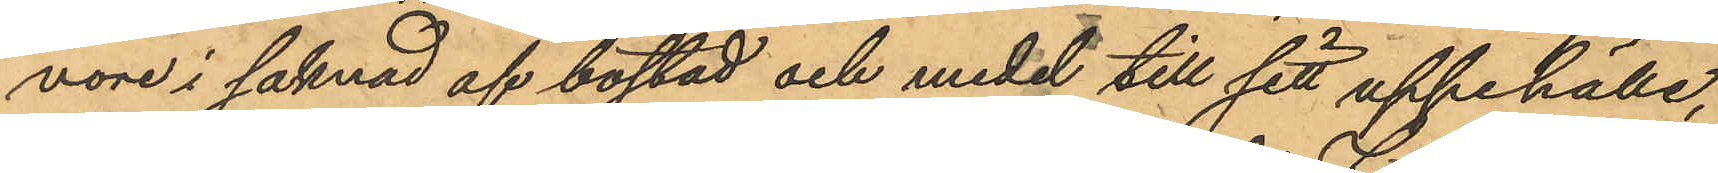vore i saknad af bostad och medel till sitt uppehälle,
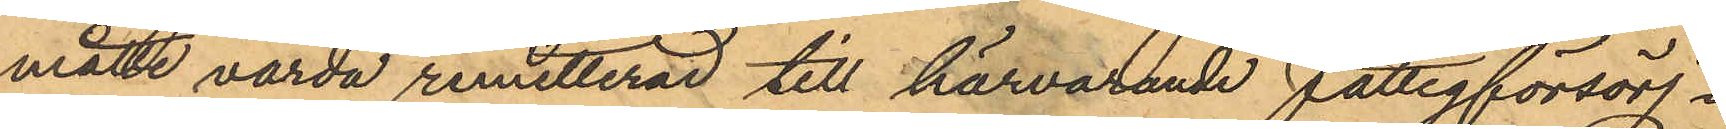måtte varda remitterad till härvarande fattigförsörj¬
